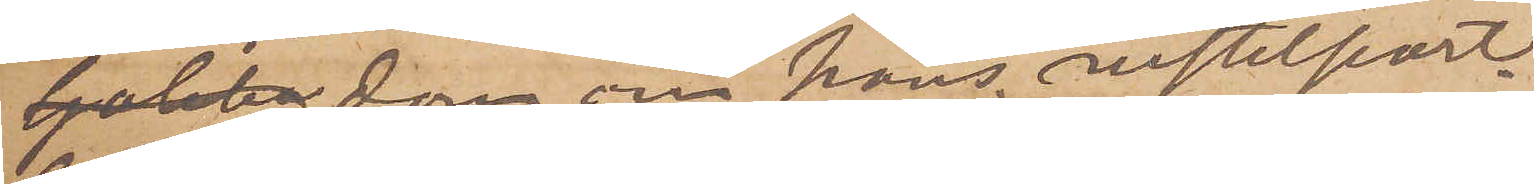 dom om hans vistelseort.
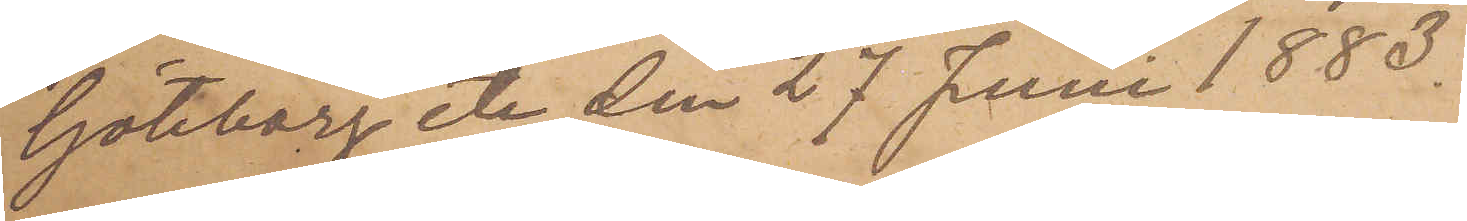Göteborg de den 27 Juni 1883.
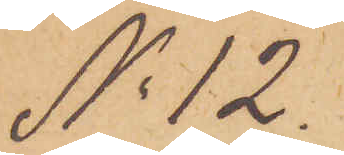No 12.
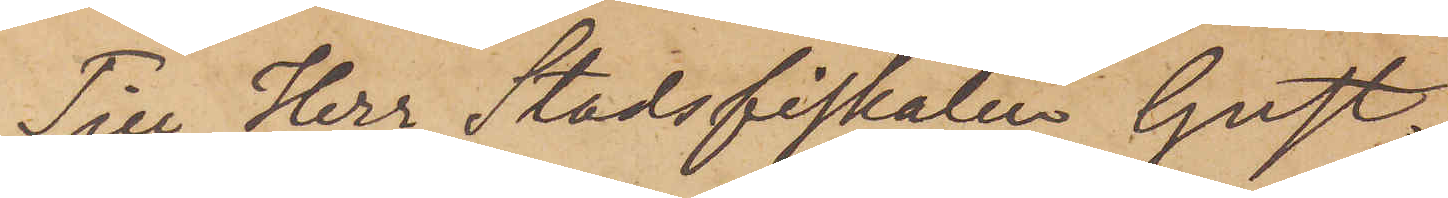Till Herr Stadsfiskalen Gust.
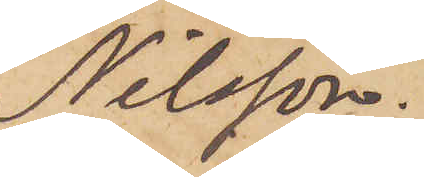Nilsson.
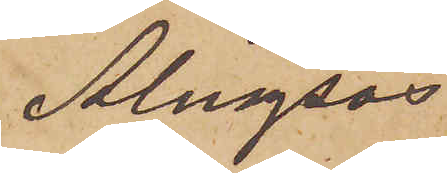Alngsås
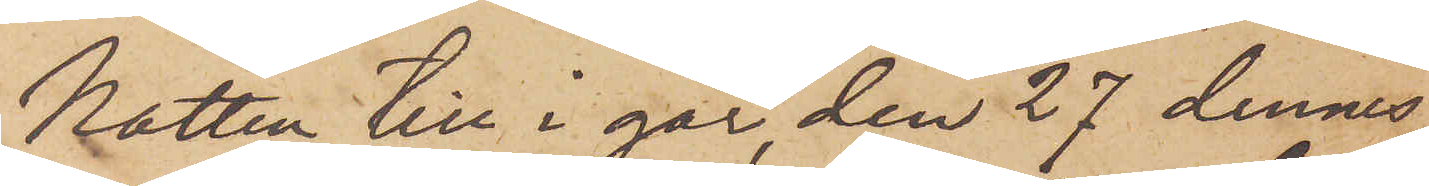Natten till i går, den 27 dennes,
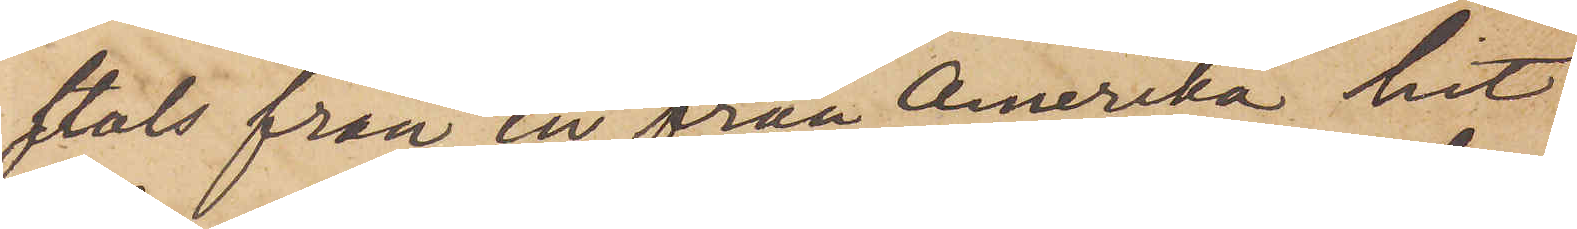stals från en från Amerika hit
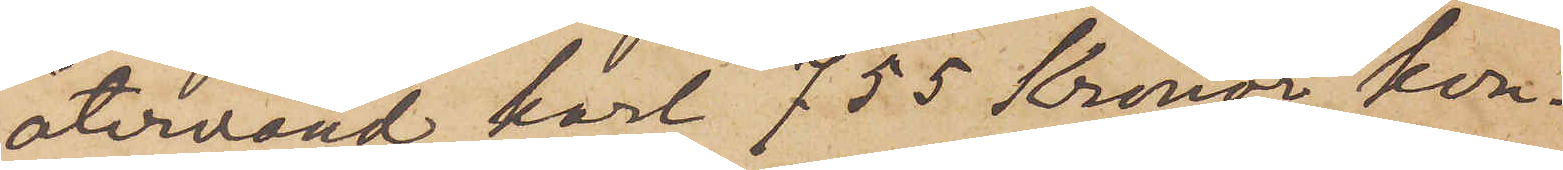återvänd karl 755 Kronor kon¬
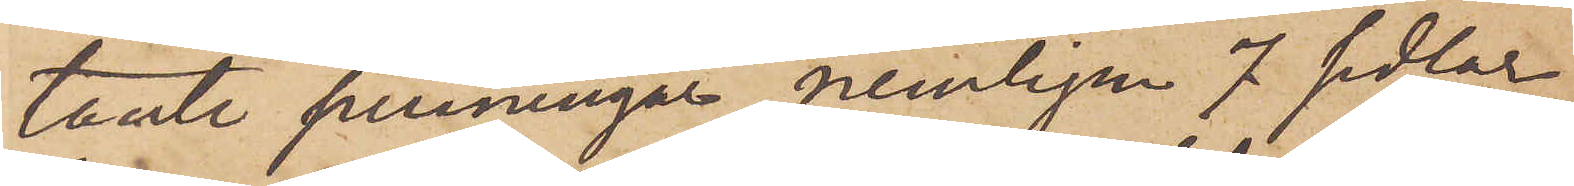tante penningar, nemligen 7 sedlar
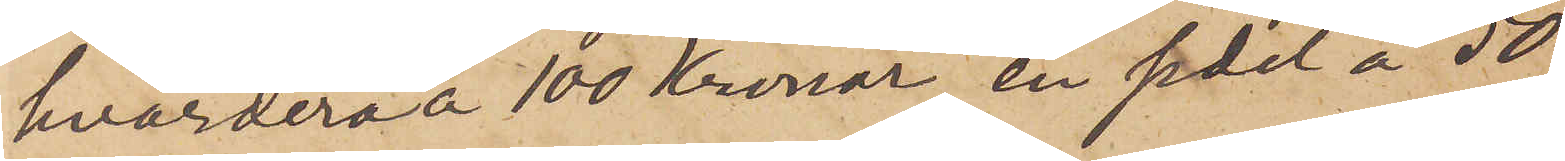hvardera å 100 Kronor, en sedel å 50
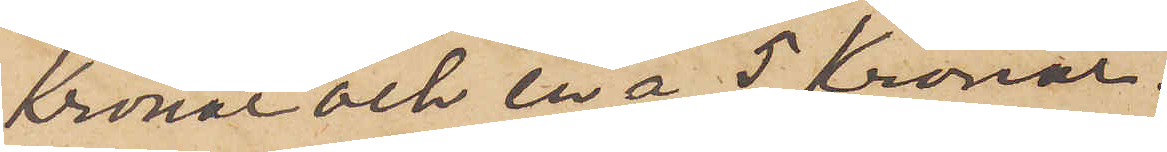Kronor och en å 5 kronor.
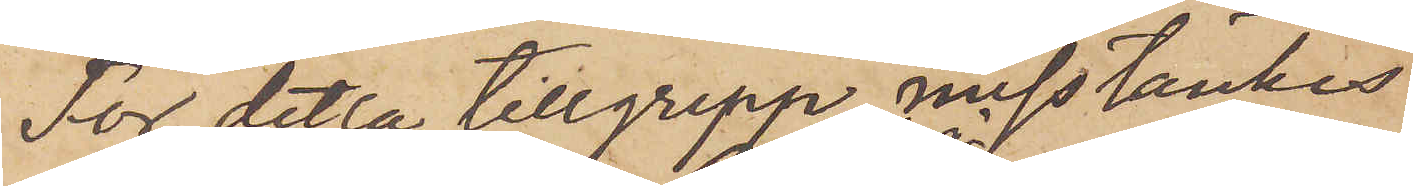För detta tillgrepp misstänkes
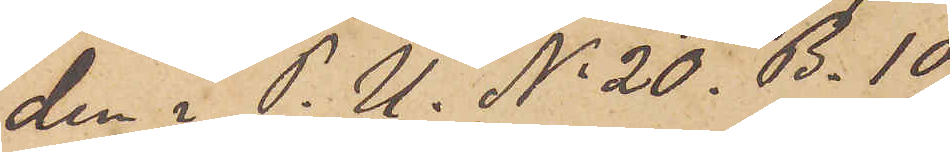den i P. U. No 20. B. 10
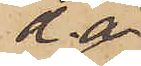d. å.
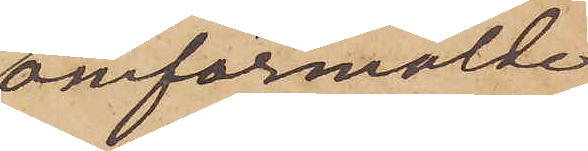omförmälde
